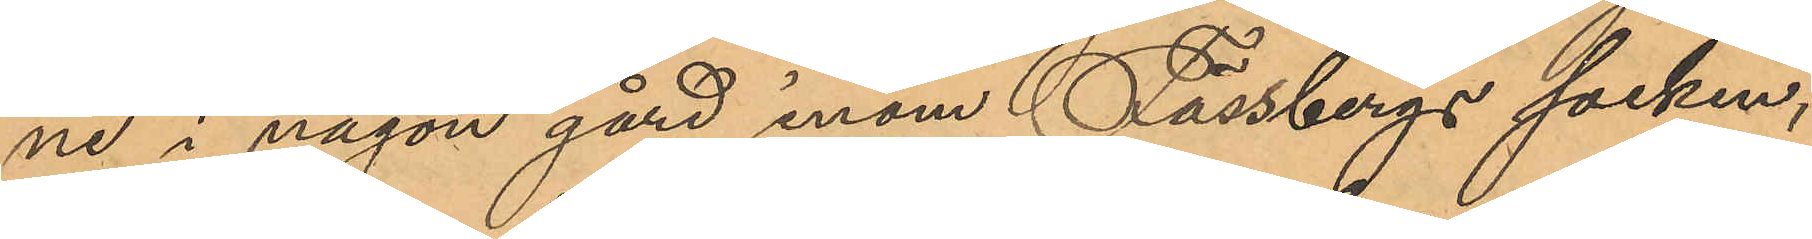ne i någon gård inom Fässbergs socken,
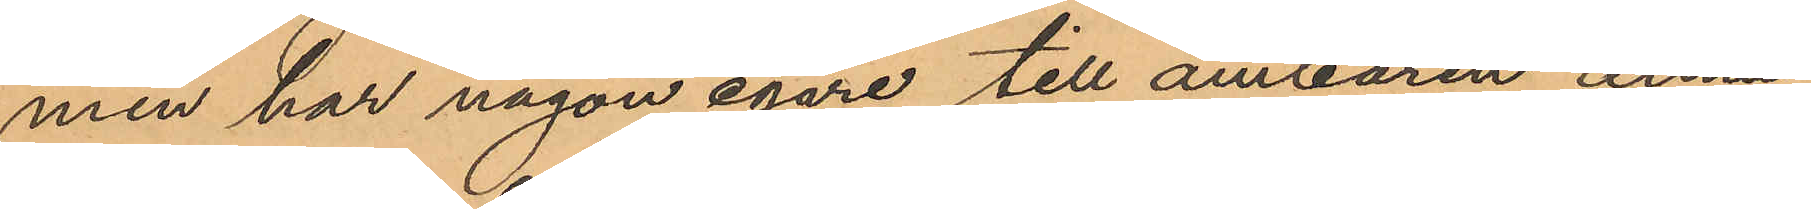men har någon egare till ämbaren ännu
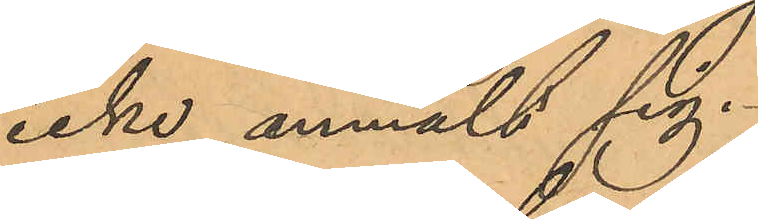icke anmält sig.
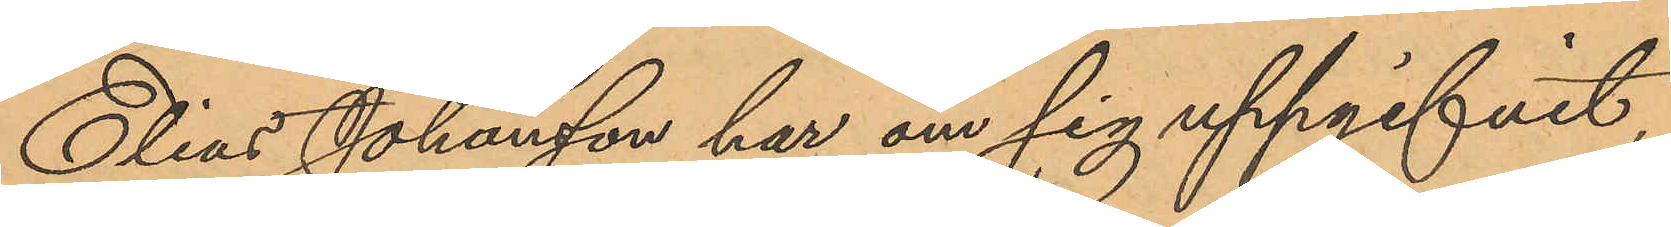Elias Johansson har om sig uppgifvit
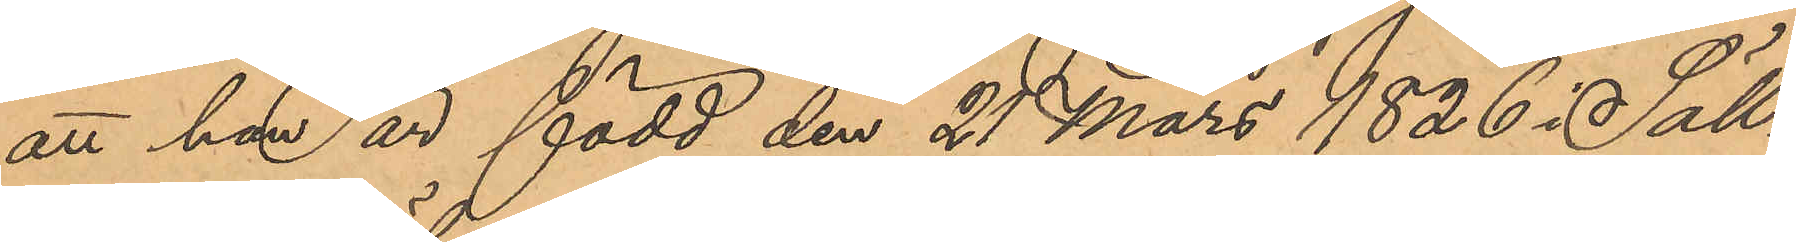att han är född den 21 Mars 1826 i Säll¬
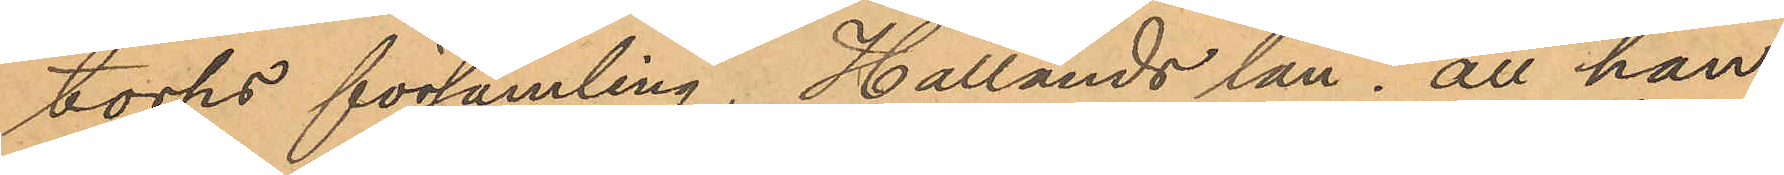torps församling, Hallands län; att han
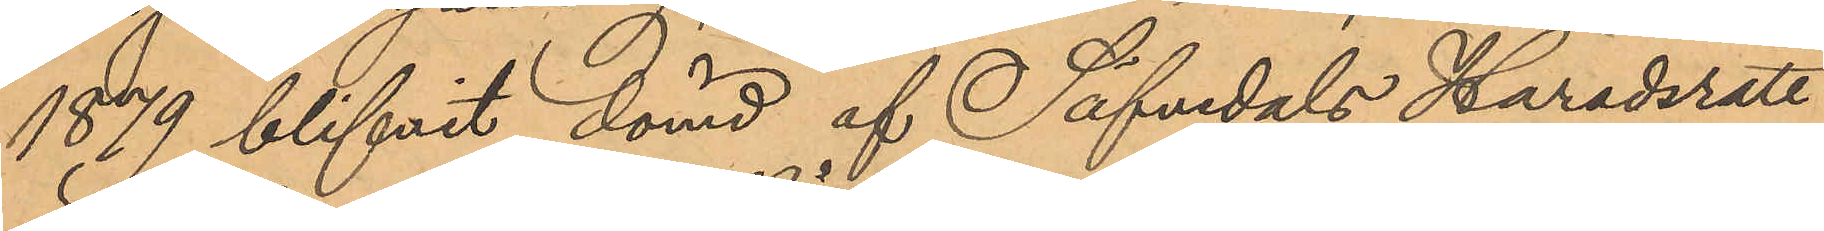1879 blifvit dömd af Säfvedals Häradsrätt
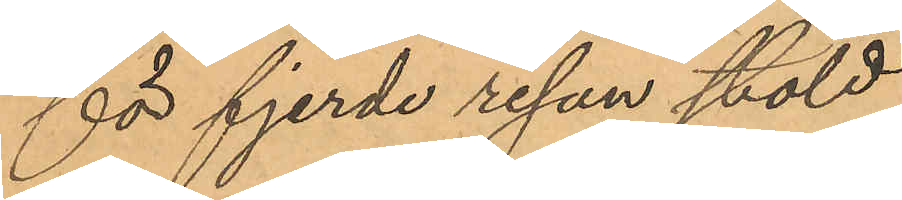för fjerde resan stöld
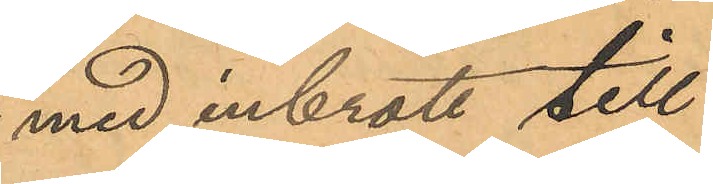med inbrott till
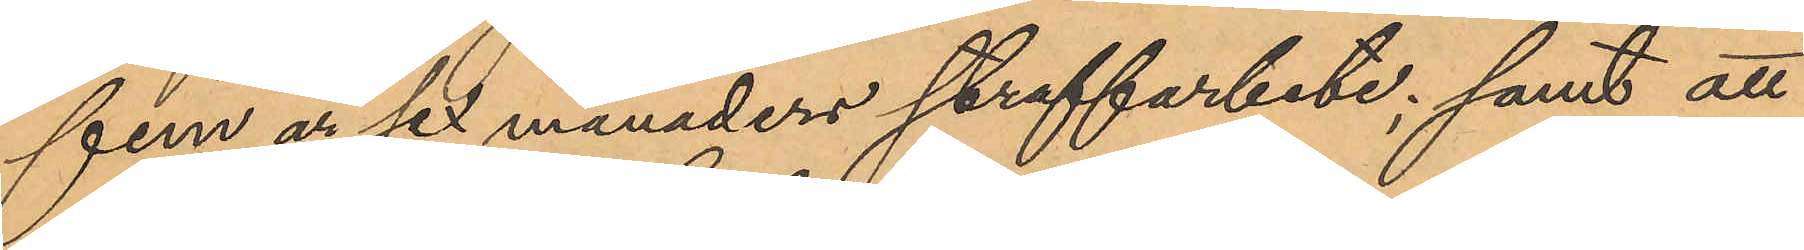fem år sex månaders straffarbete; samt att
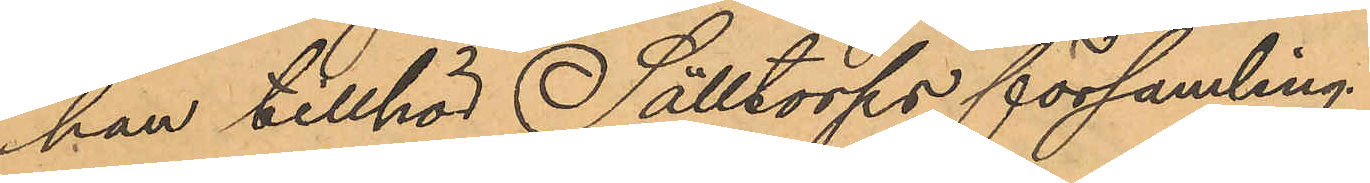han tillhör Sälltorps församling.
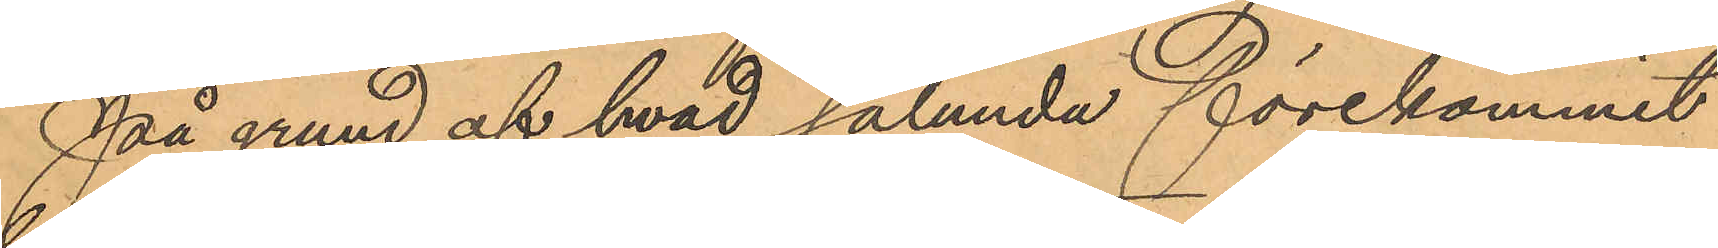På grund af hvad sålunda förekommit
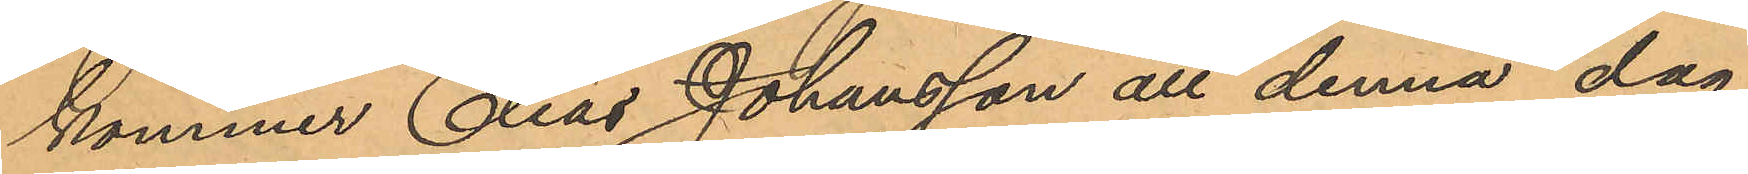kommer Elias Johansson att denna dag
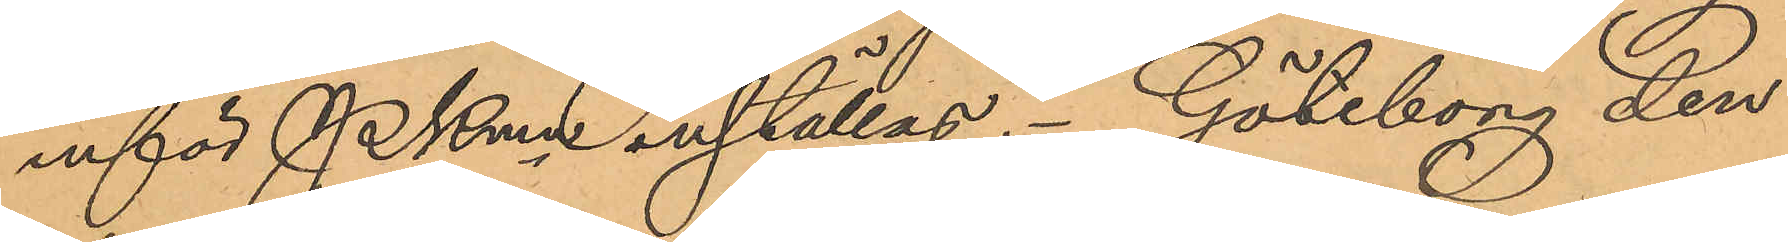inför PKmn inställas. Göteborg den
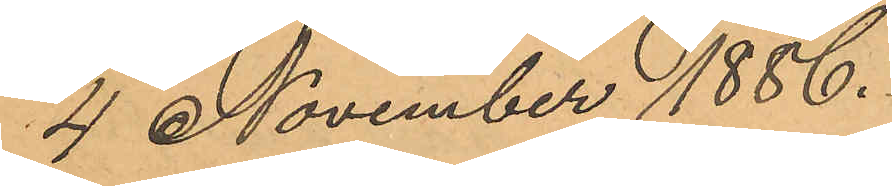4 November 1886.
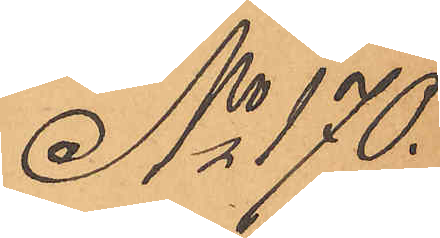No 170
